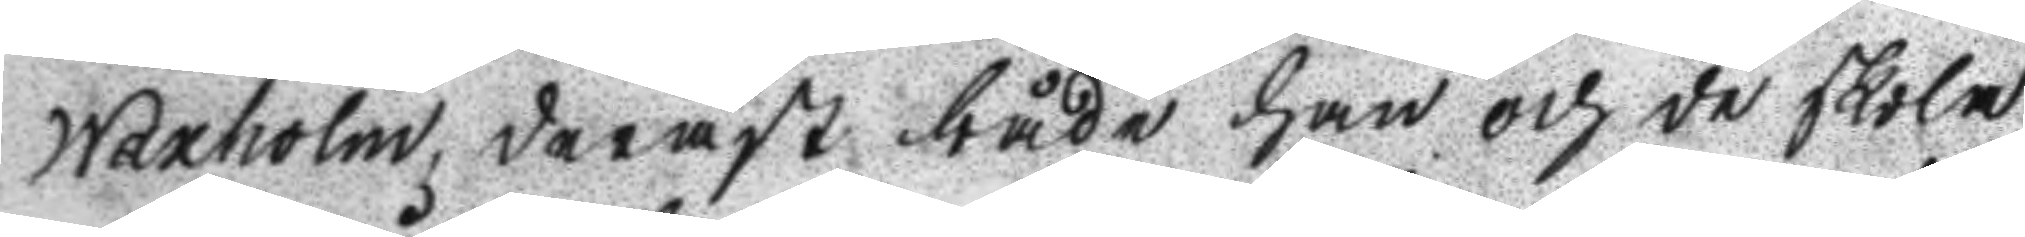Waxholm, dernäst både han och de skola
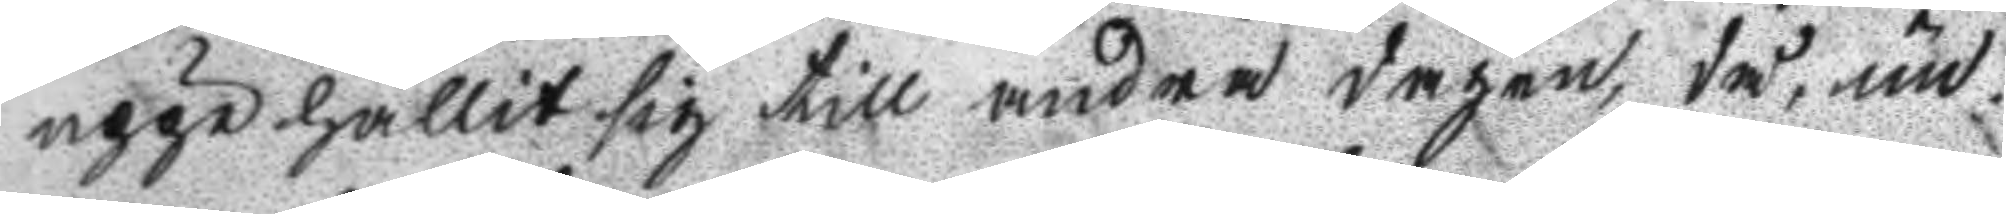uppehållit sig till andra dagen, då un¬
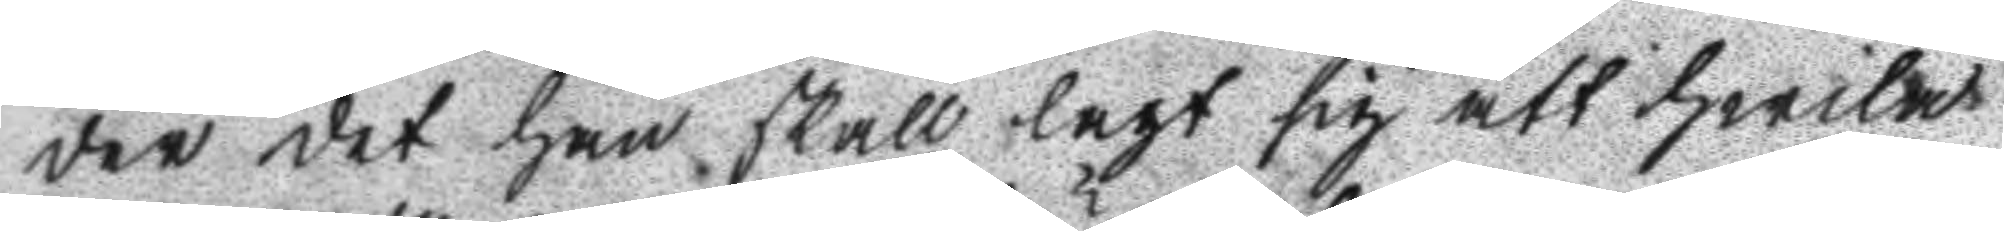der det han skall lagt sig att hwila
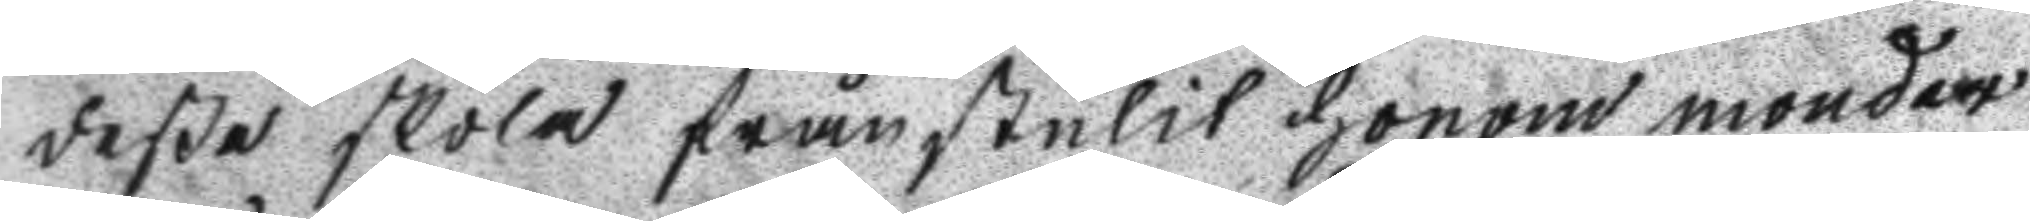deße skola frånstulit honom monder
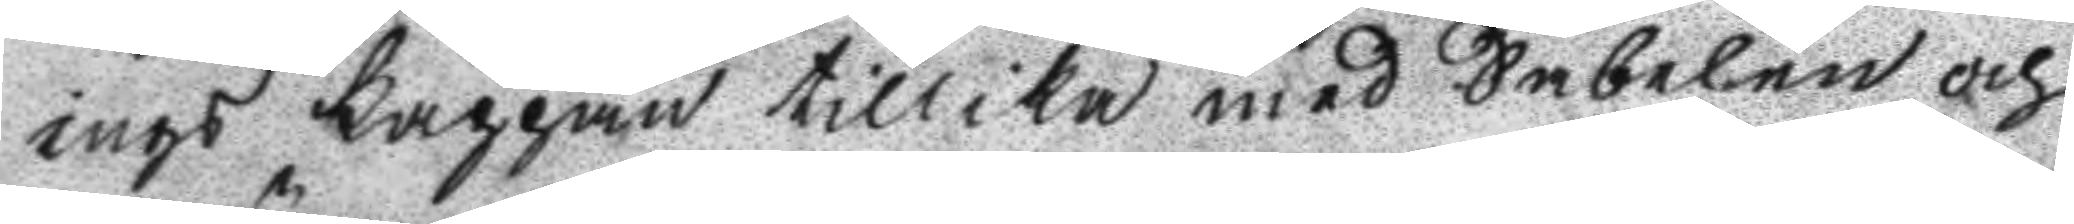ings Kappan tillika med Sabelen och
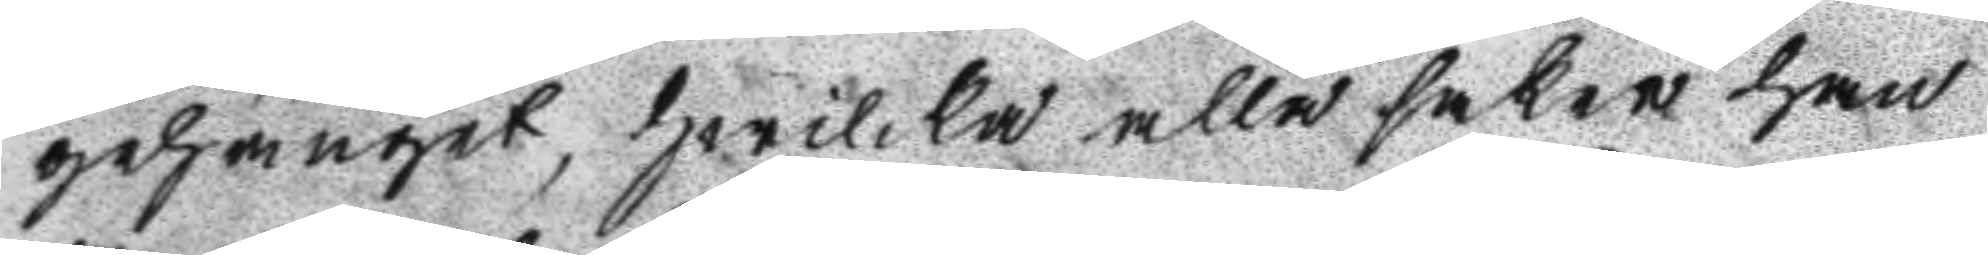gehänget, hwilka alla saker han
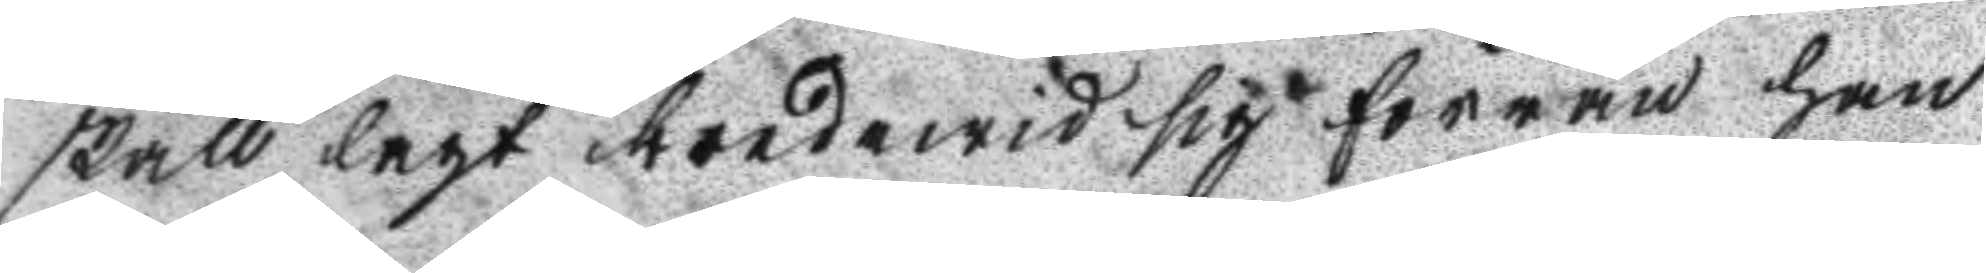skall lagt bredewid sig förrän han
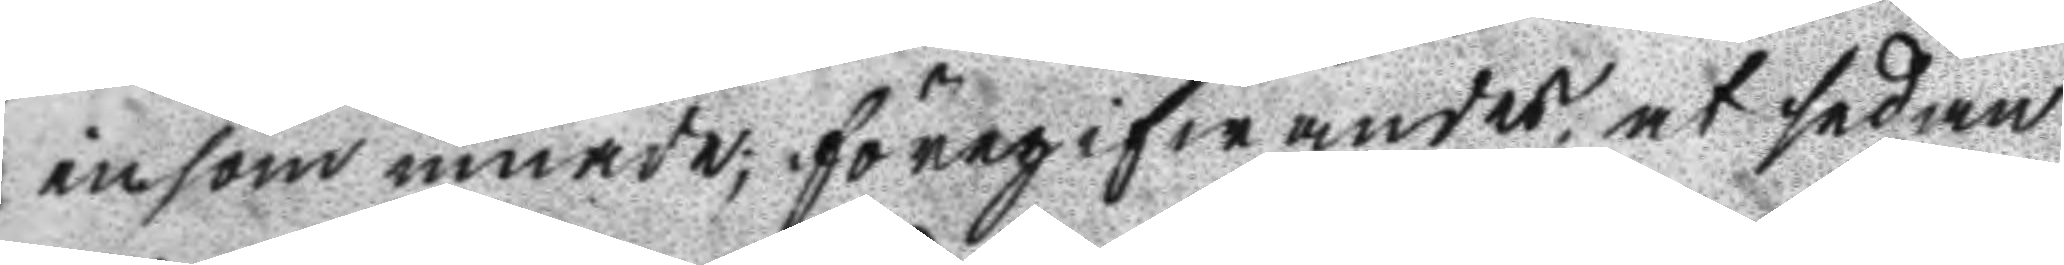insommnade; föregifwandes at sedan
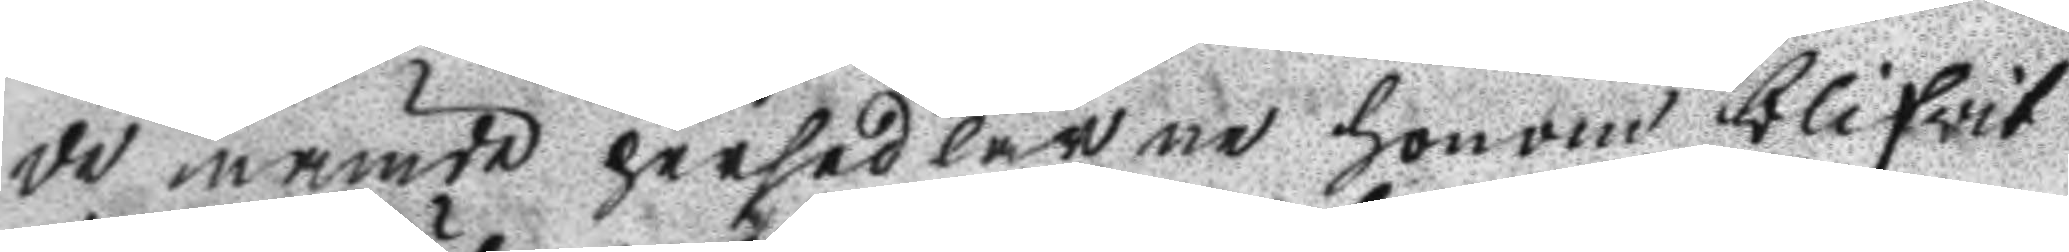de nämde persedlarne honom blifwit
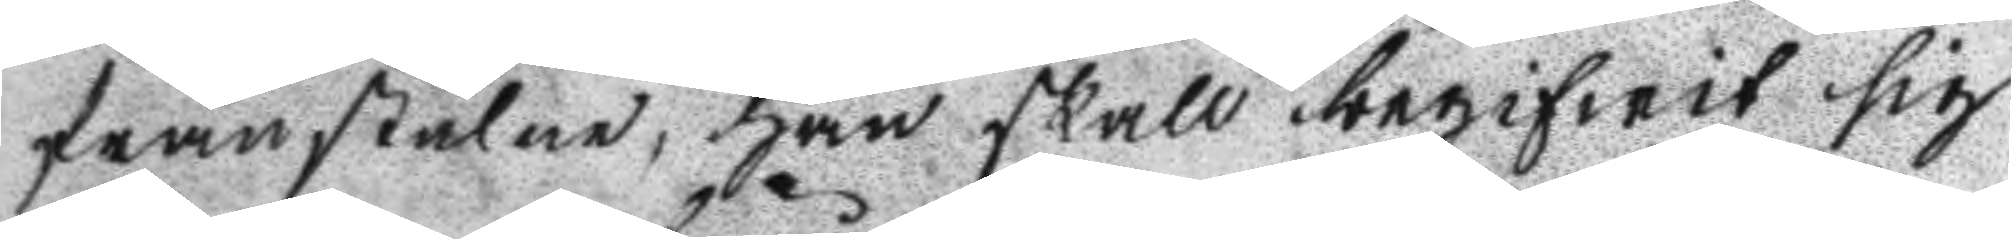frånstulne, han skall begifwit sig
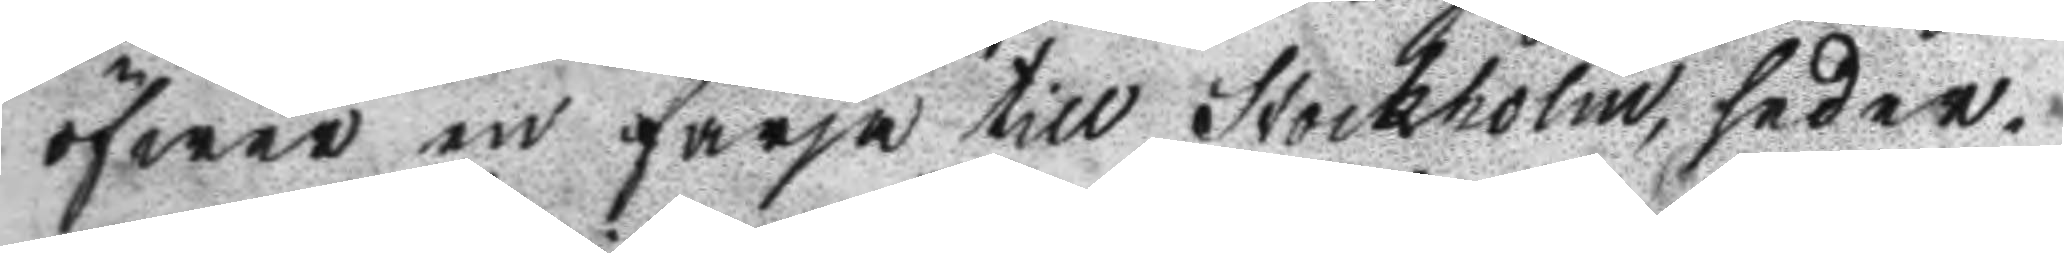öfwer en färja till Stockholm, seder¬
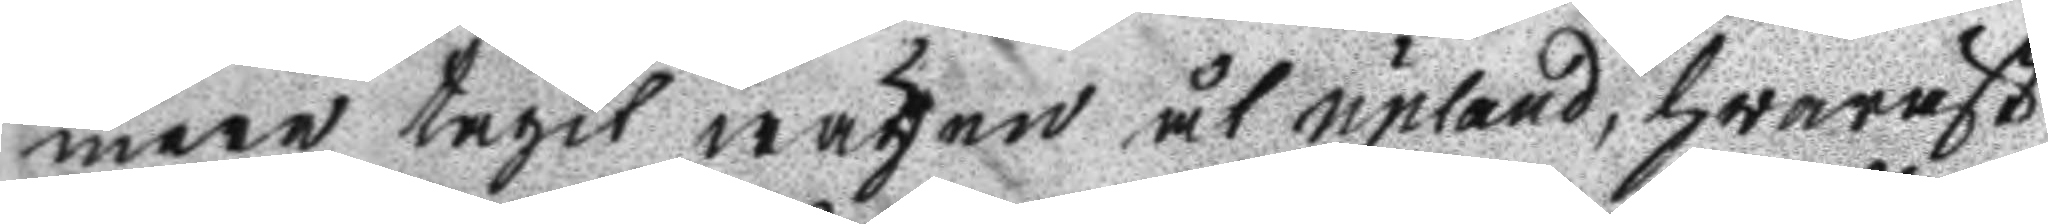mera tagit wägen åt upland, hwaräst
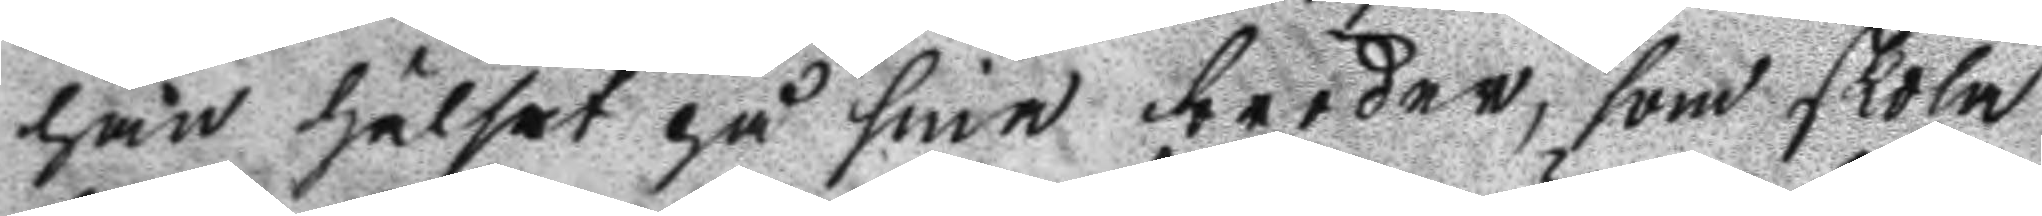han hälsat på sina bröder, som skola
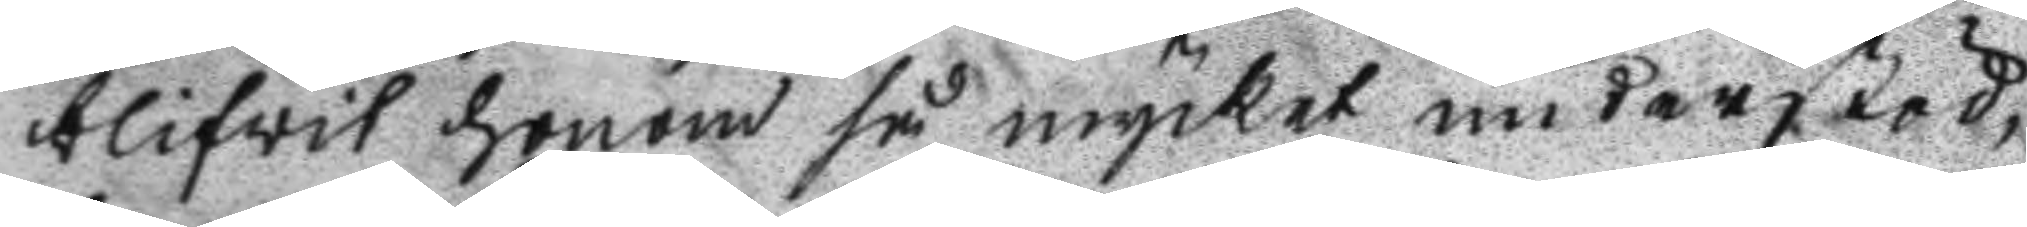blifwit honom så mycket understöd,
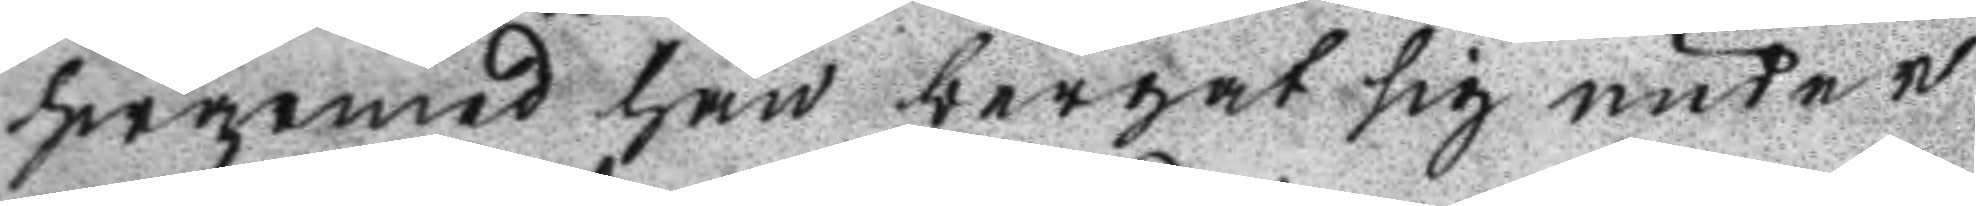hwarmed han bergat sig under
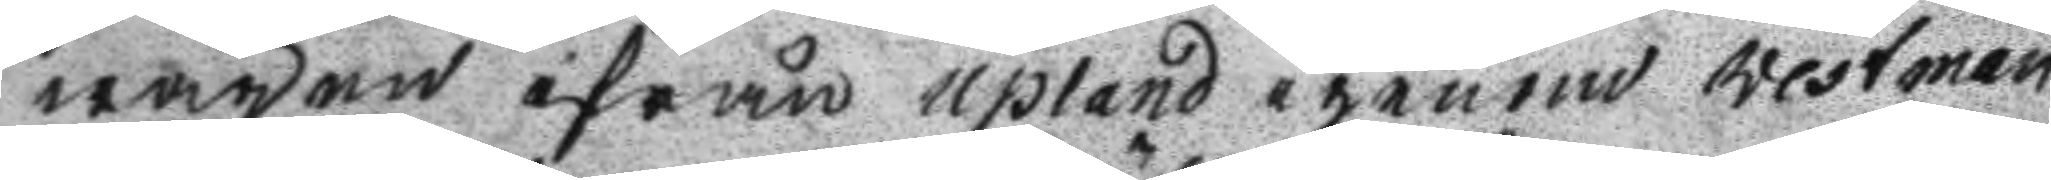wägen ifrån upland igenom westman
